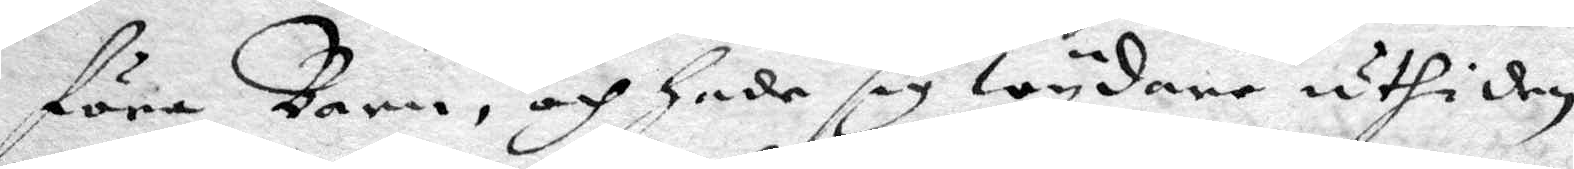föra Barn, och hade sig wydare uthi den
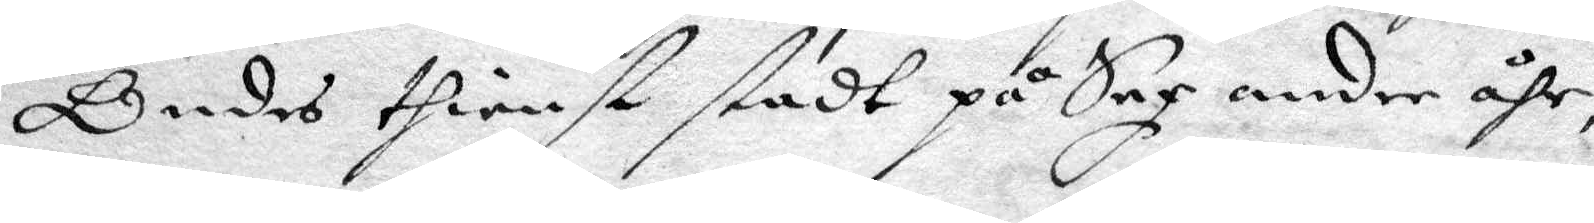Ondes thienst stadt på Sex andre åhr,
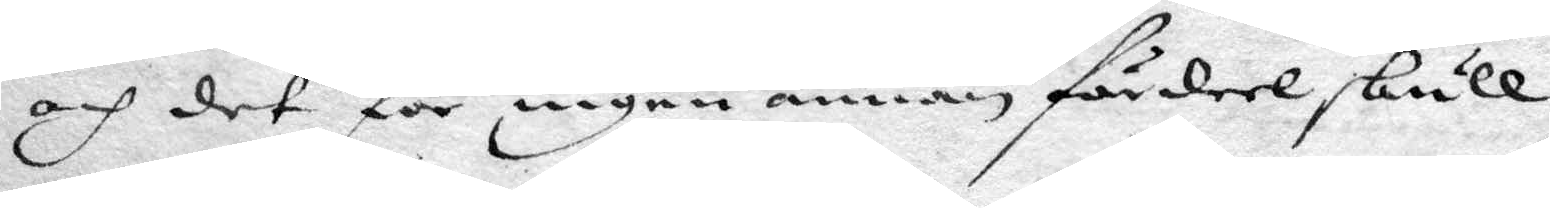och det för ingen annan fördeel skull
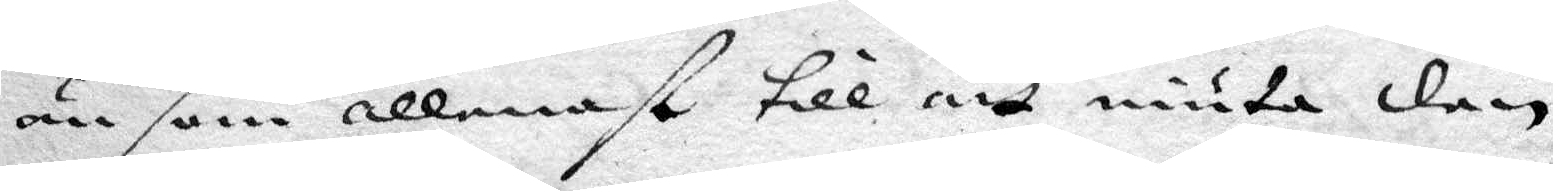än som allenast till att niuta den
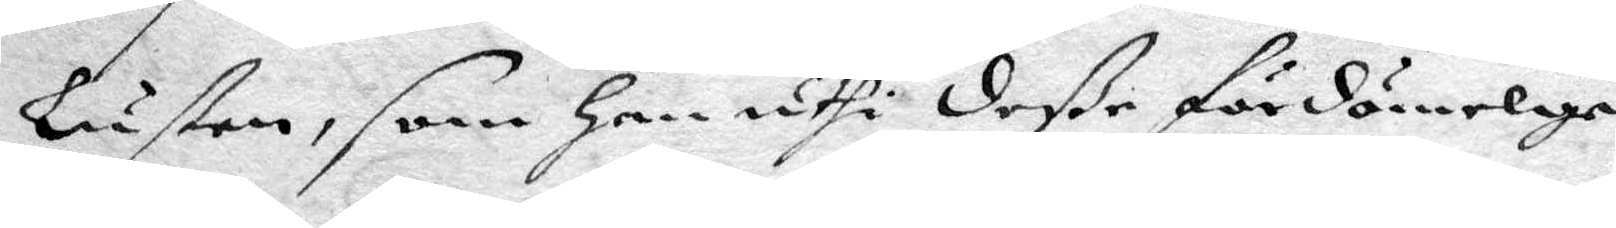lustan, som han uthi deße fördömelige
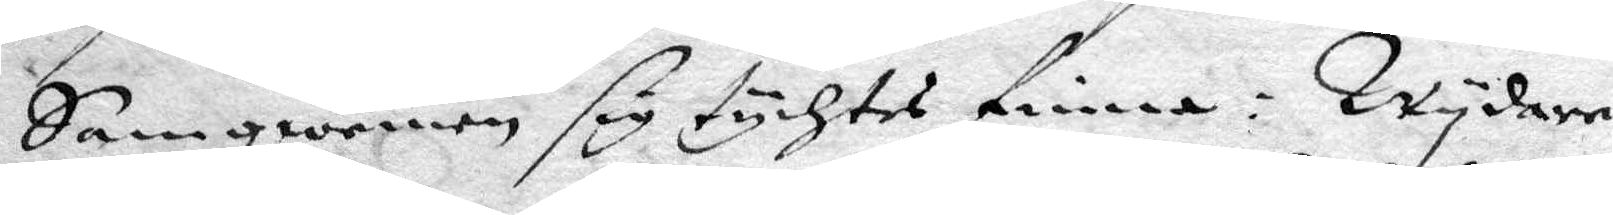Samqwemen sig tychtes finna: Wydare
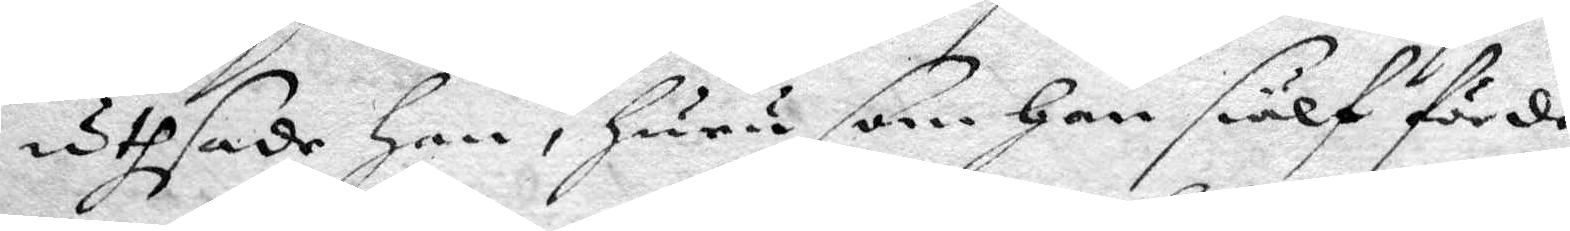uthsade han, huru som han siälf förde
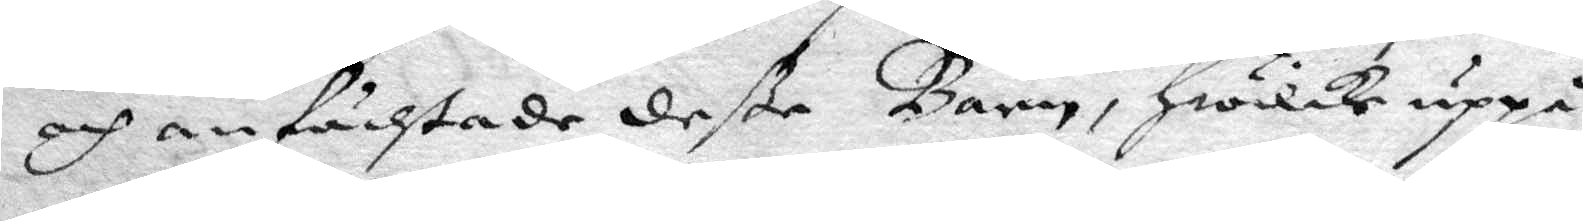och anfächtade deße Barn, hwilke uppå
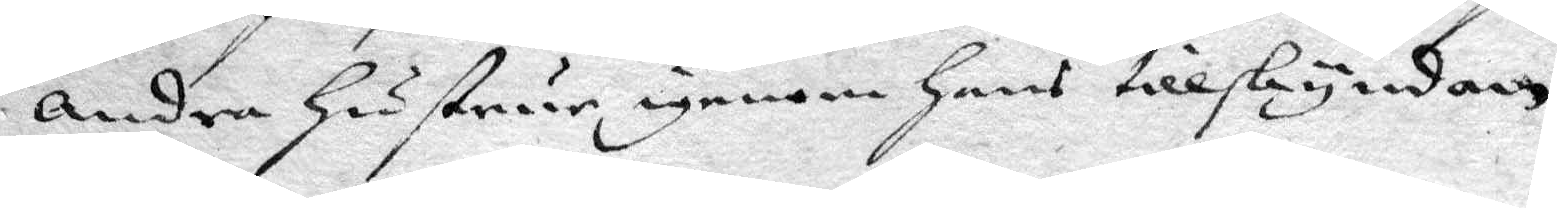andra hustrur igenom hans tillskyndan
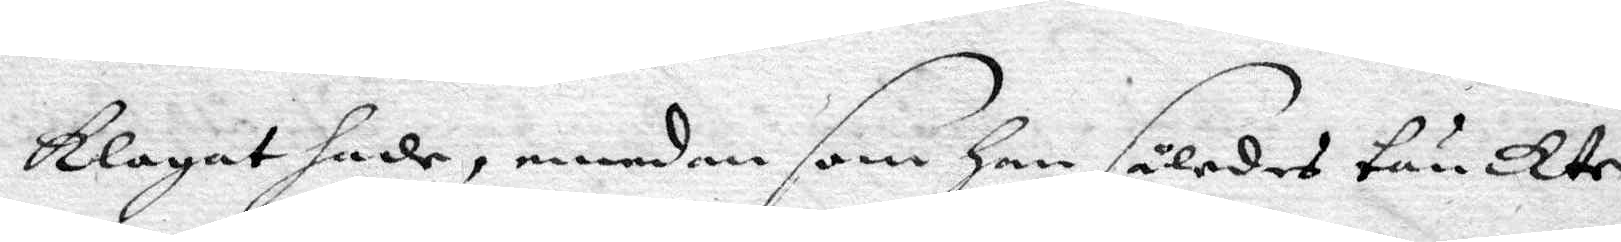klagat hade, emedan som han således tänckte
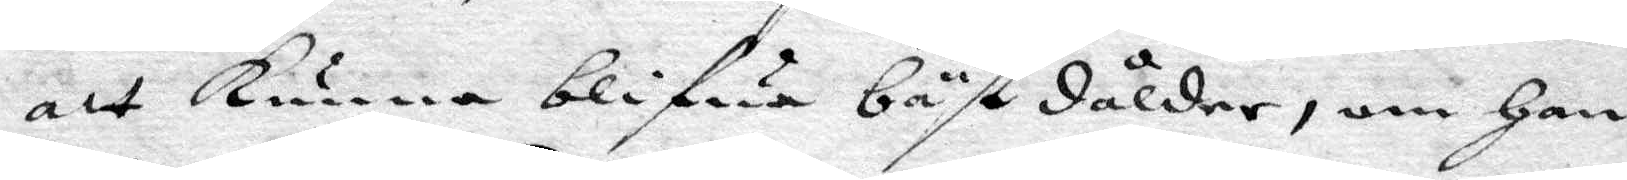att kunna blifwa bäst dålder, om han
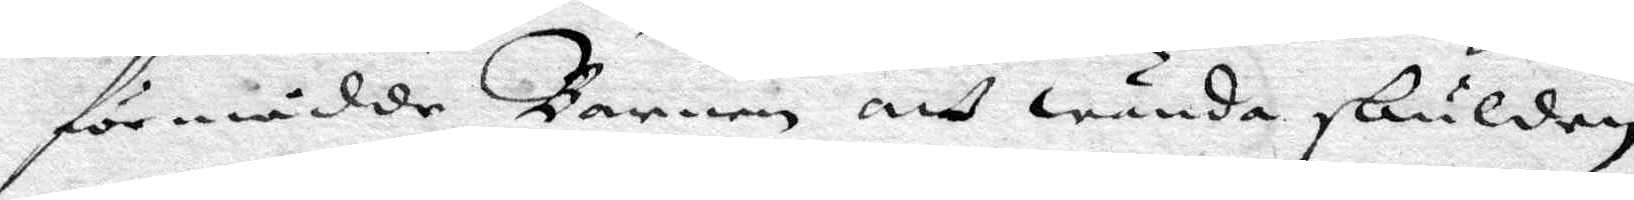förmådde Barnen att wända skulden
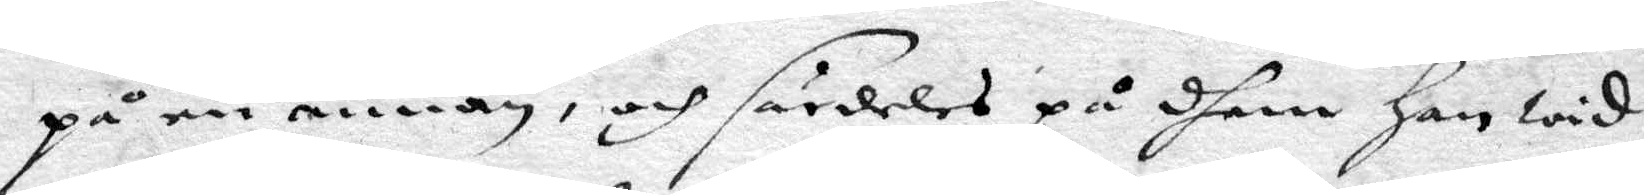på en annan, och särdeles på dhem han wid
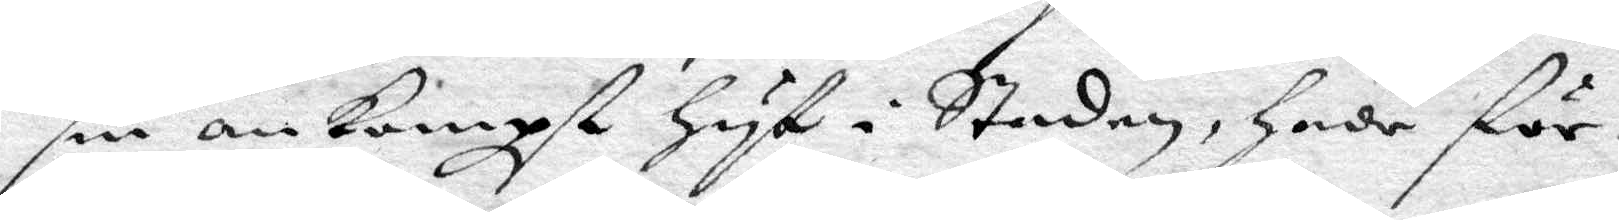sin ankombst hyst i Staden, hade för¬
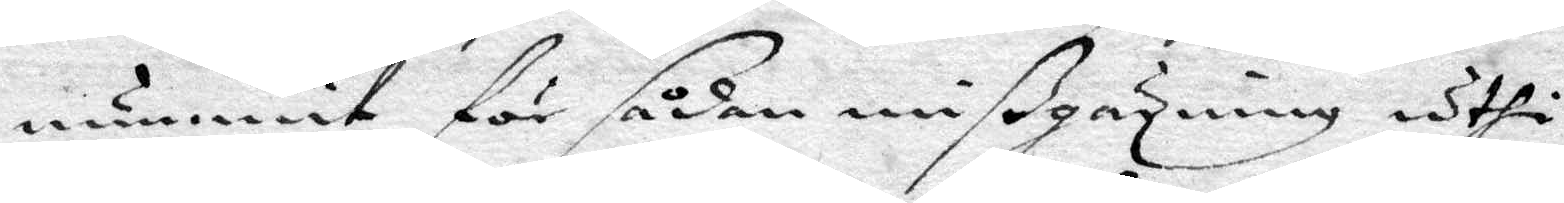nummit för sådan mißgärning uthi
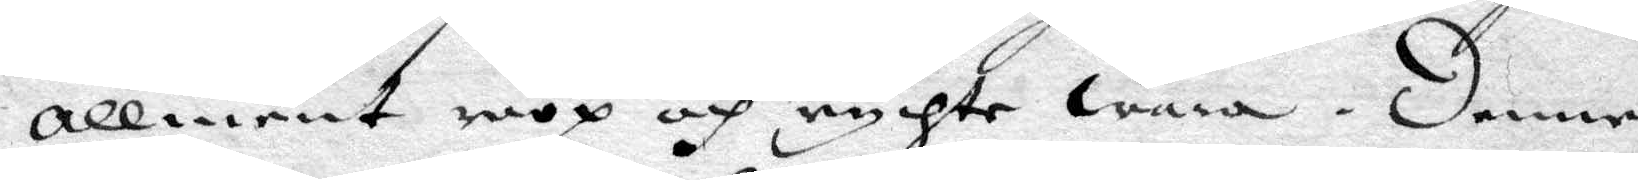allment roop och rychte wara. Denne
